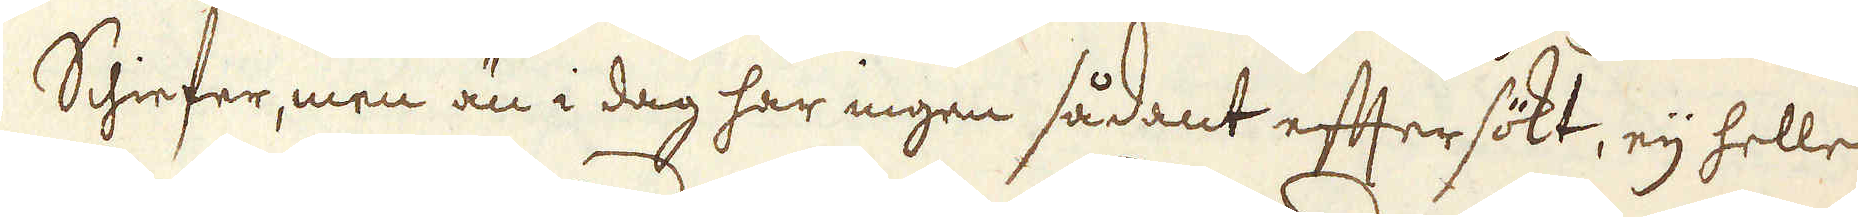Schiefer, men än i dag har ingen sådant eftersökt, eij heller
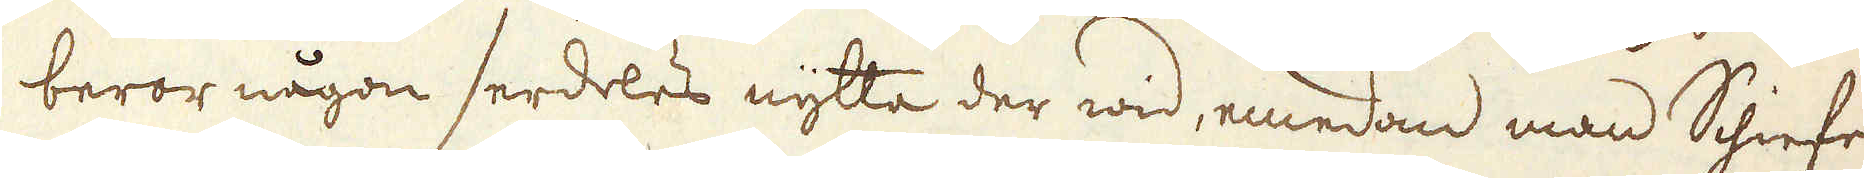beror någon serdeles nytta der wid, emedan man Schiefer
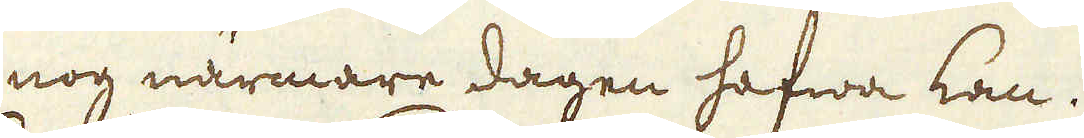nog närmare dagen hafwa kan.
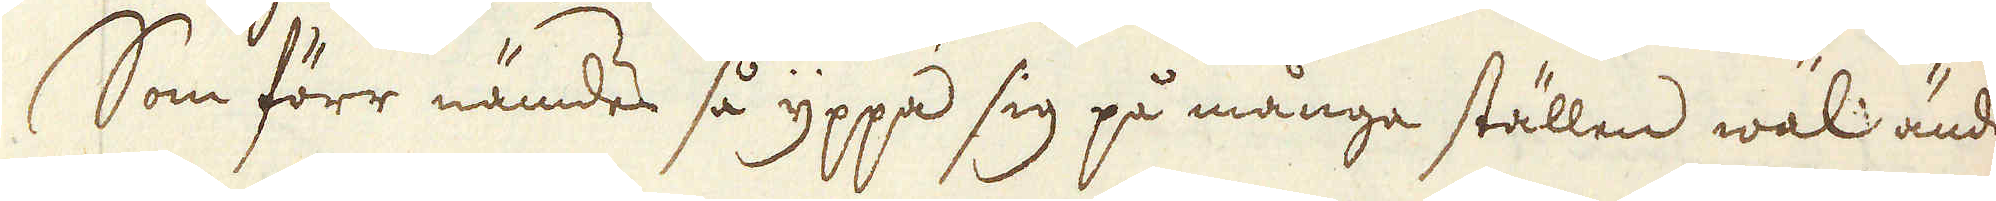Som förr nämdes så yppa sig på många ställen wäl ändå
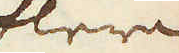flera
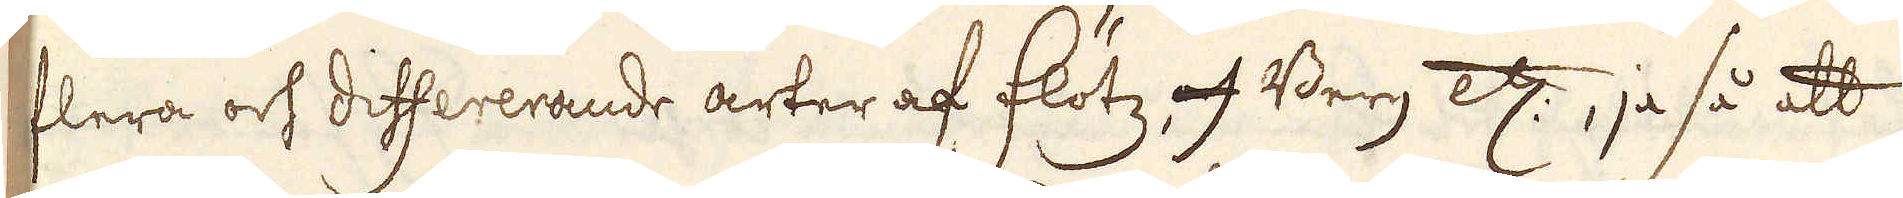flera och differerande arter af Flötz och Berg etc:, ja så att
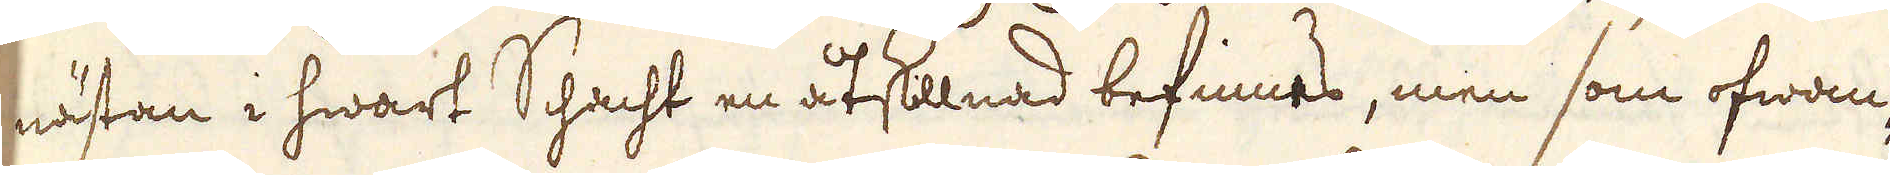nästan i hwart Schacht en åtslllnad befinnes, men som ofwan-
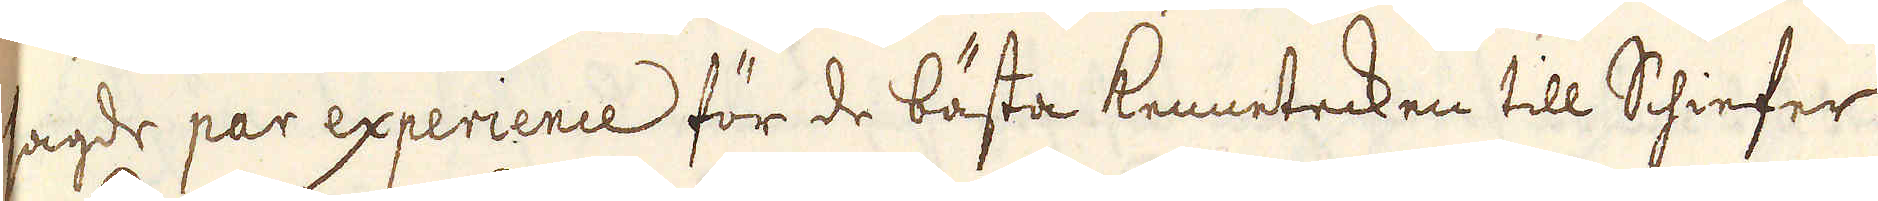sagde par experience för de bästa kennetecken till Schiefer
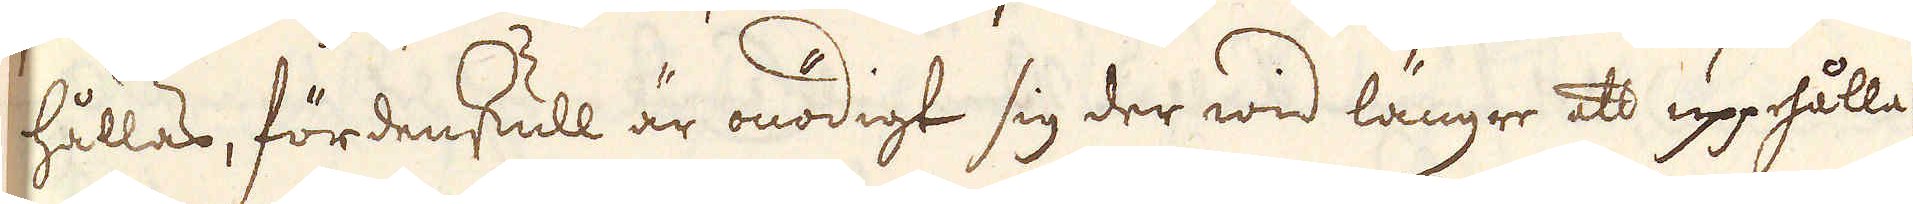hållas, fördenskull är onödigt sig der wid längre att upphålla.
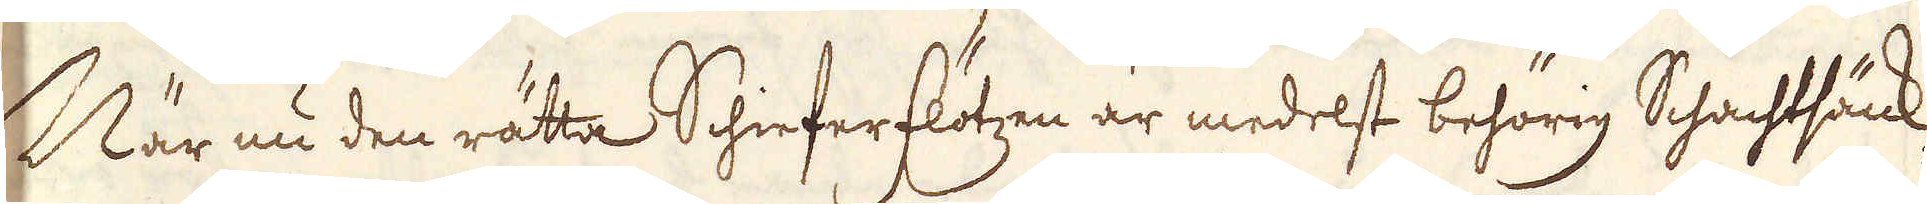När nu den rätta Schieferflötzen är medelst behörig Schachtsänk-
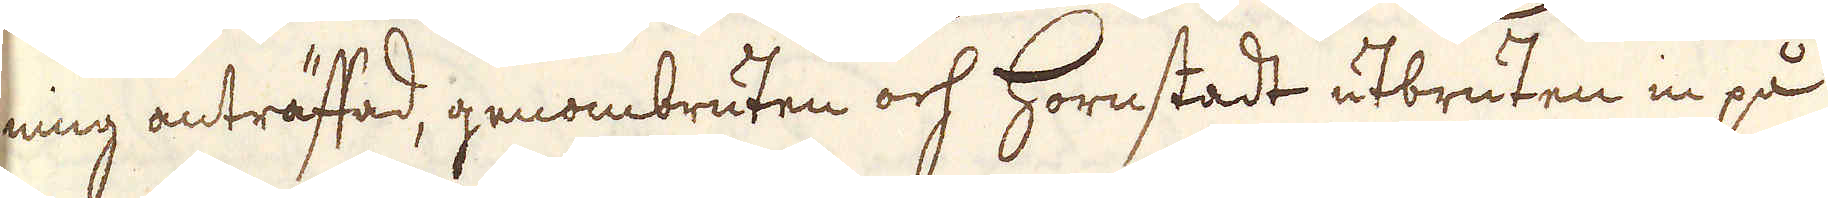ning anträftad, genombruten och Hornstadt utbruten in på
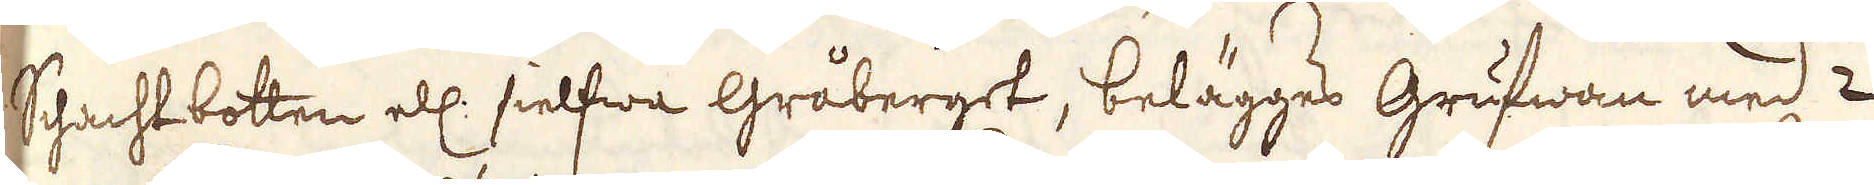Schachtbotten ell: sielfwa Gråberget, belägges Grufwan med 2
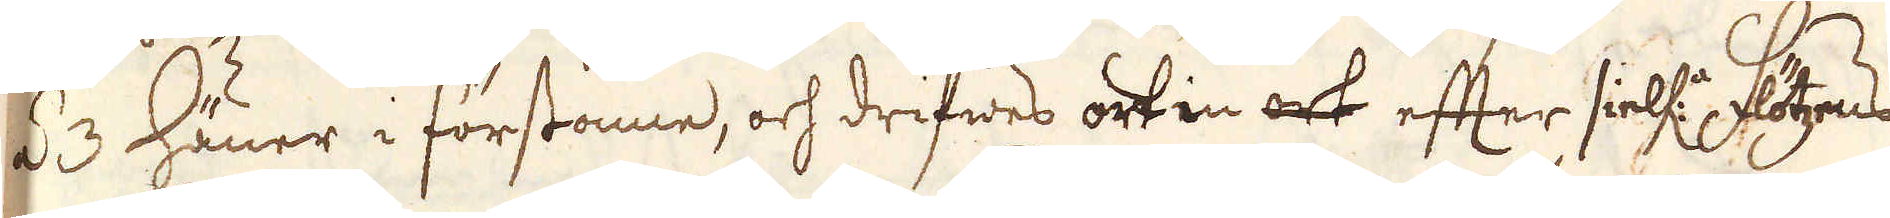á 3 Häuer i förstonne, och drifwes ort in ock efter sielf:a Flötzens
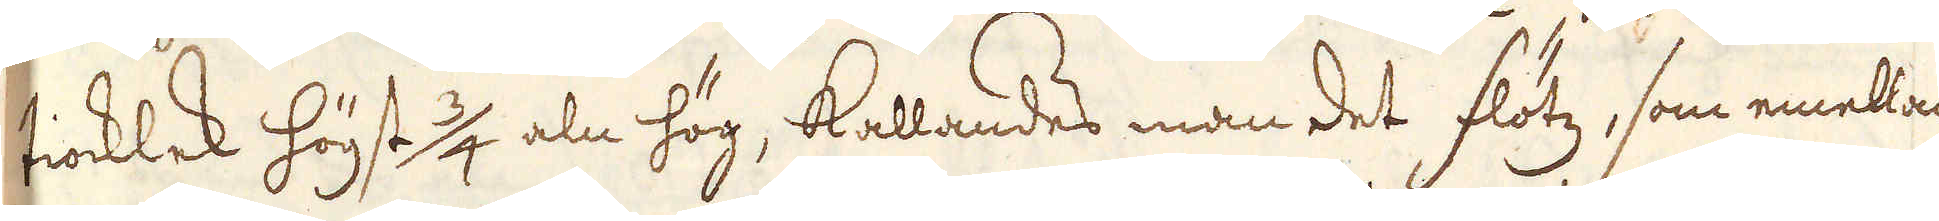tiocklek högt 3/4 aln hög, kallandes man det flötz, som emellan
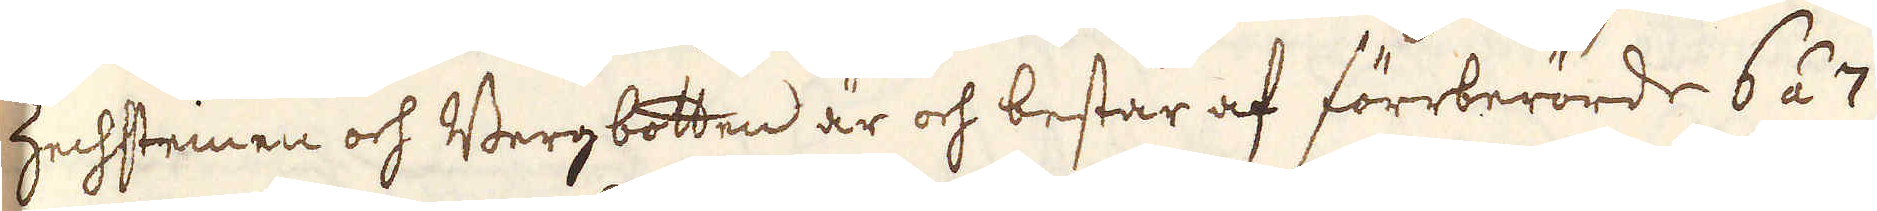Zechsteinen och Bergbotten är och består af förrberörde 6 á 7
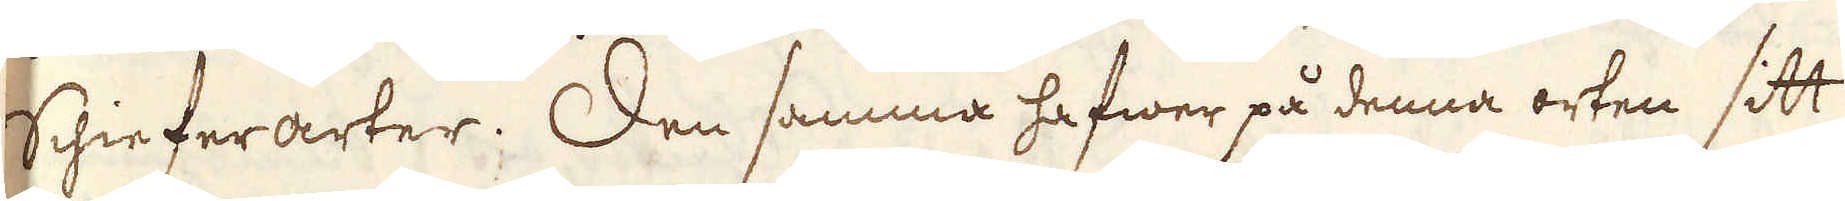Schieferarter. Den samma hafwer på denna orten sitt
